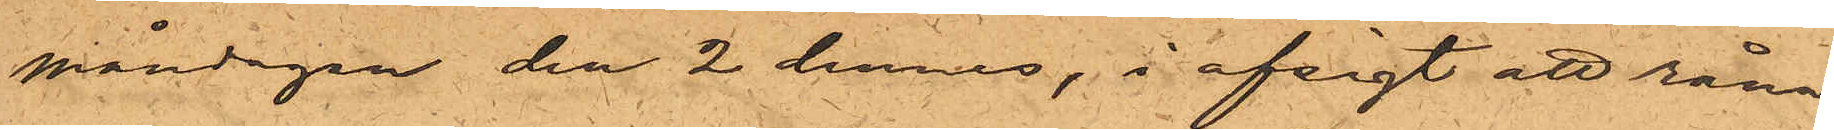måndagen den 2 dennes, i afsigt att råna
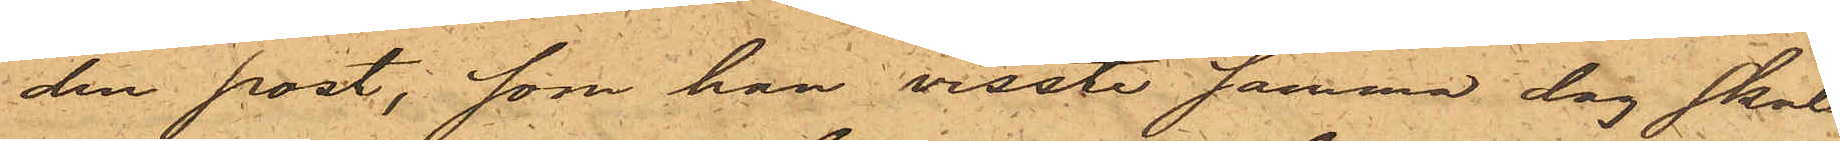den post, som han visste samma dag skul¬
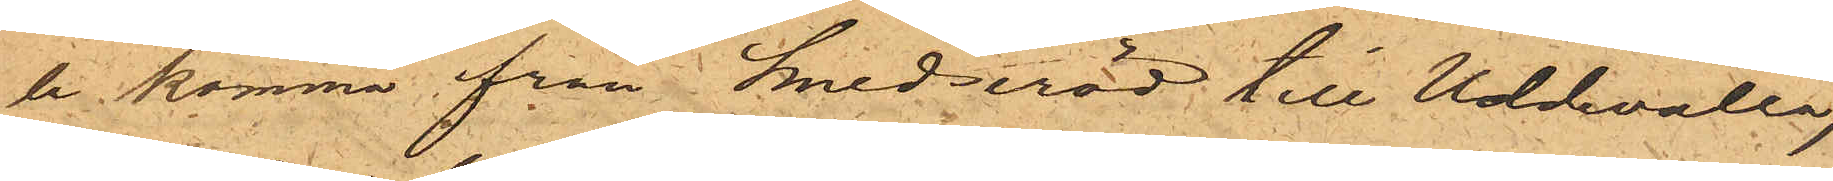le komma från Smedseröd till Uddevalla,
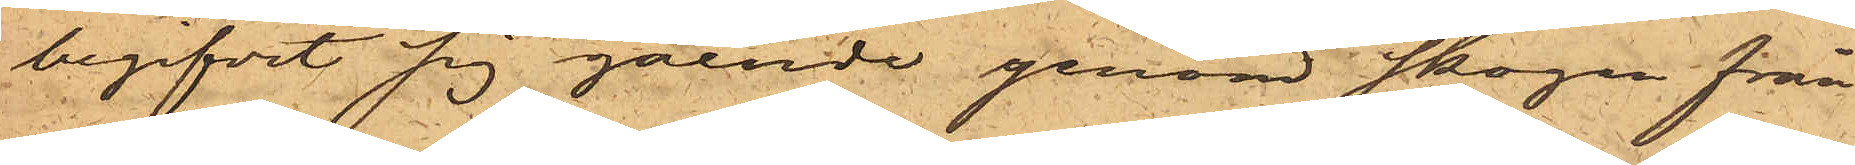begifvit sig gående genom skogen från
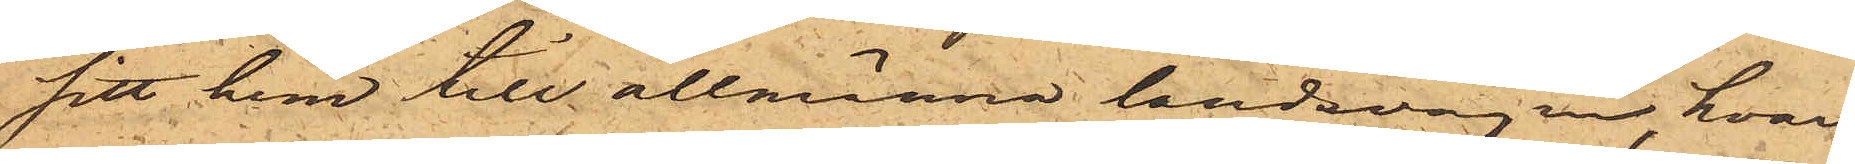sitt hem till allmänna landsvägen, hvar¬
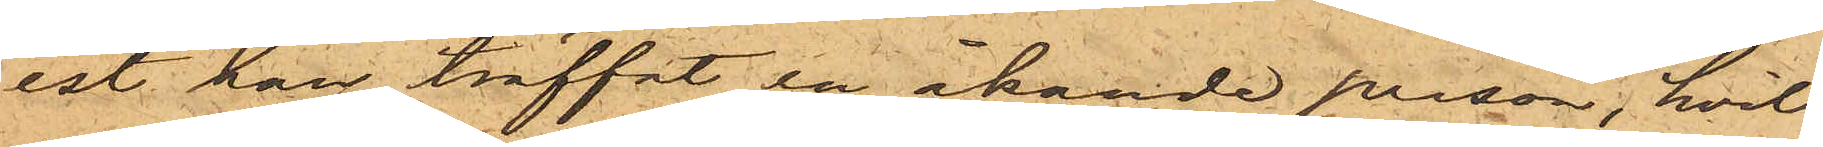est han träffat en åkande person, hvil¬
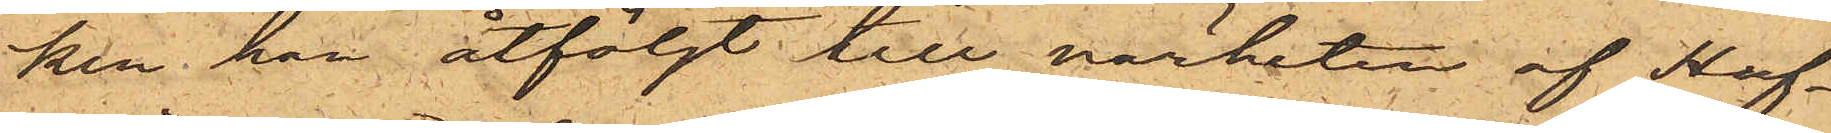ken han åtföljt till närheten af Huf¬
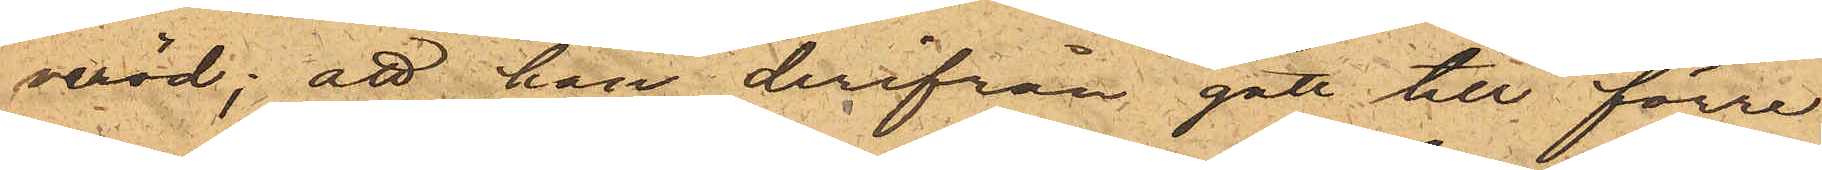veröd; att han derifrån gått till förre
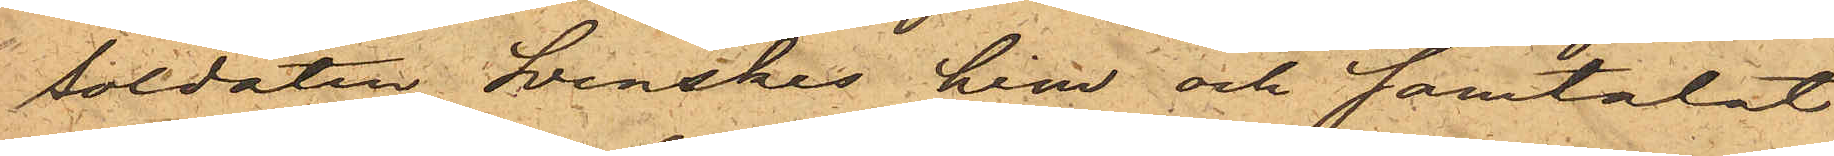soldaten Svenskas hem och samtalat
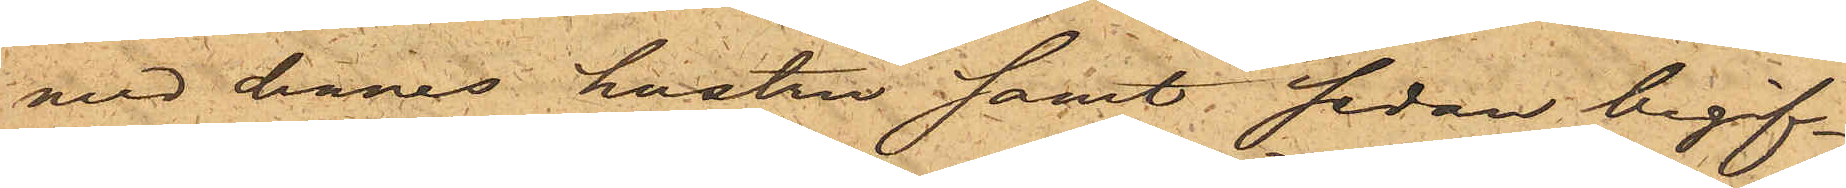med dennes hustru samt sedan begif¬
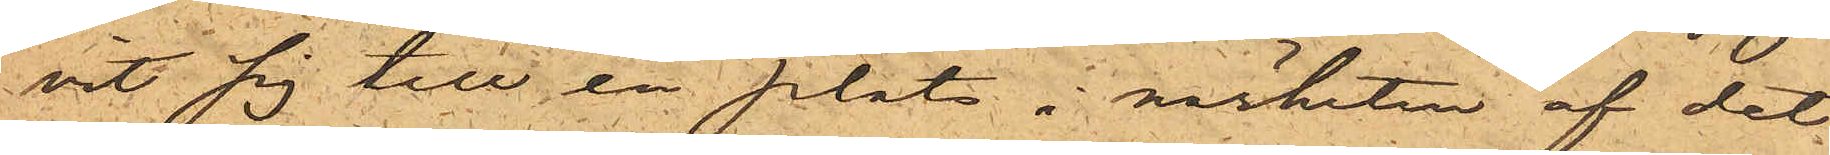vit sig till en plats i närheten af det
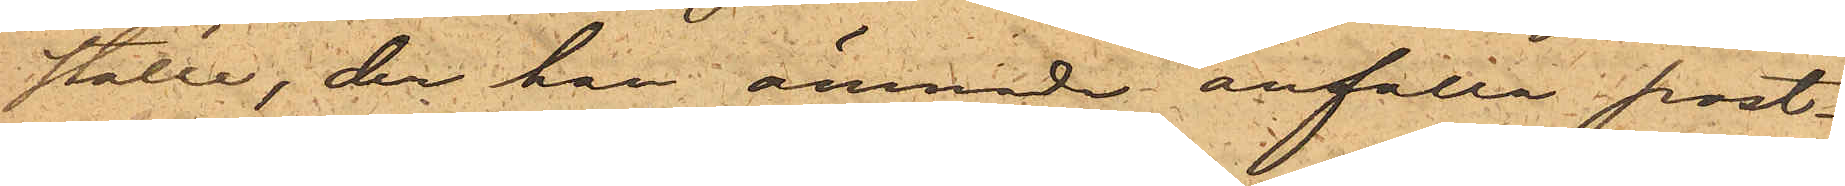ställe, der han ämnade anfalla post¬
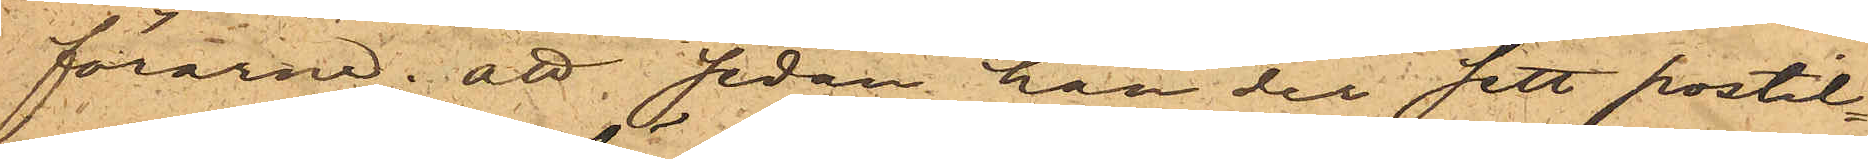förarna; att sedan han der sett postil¬
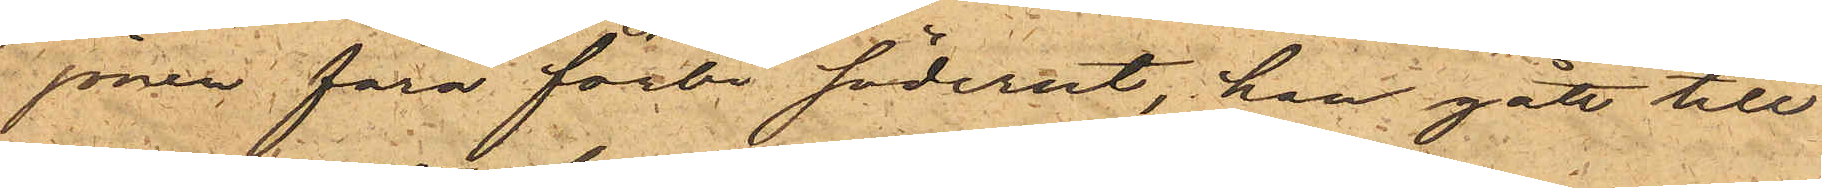jonen fara förbi söderut, han gått till
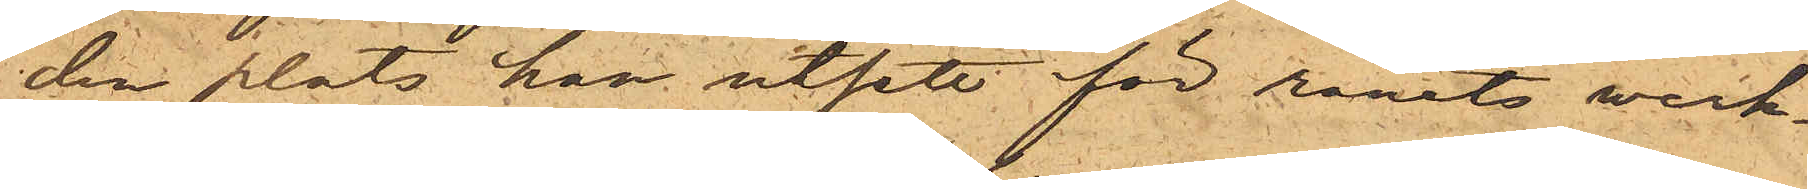den plats han utsett för rånets werk¬
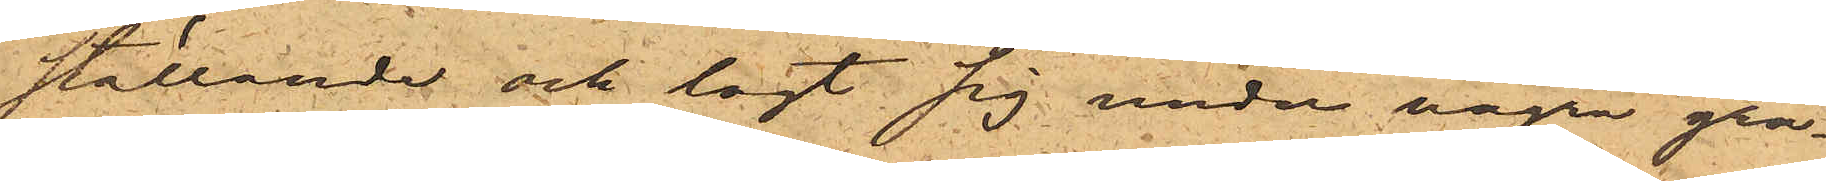ställande och lagt sig under några gra¬
